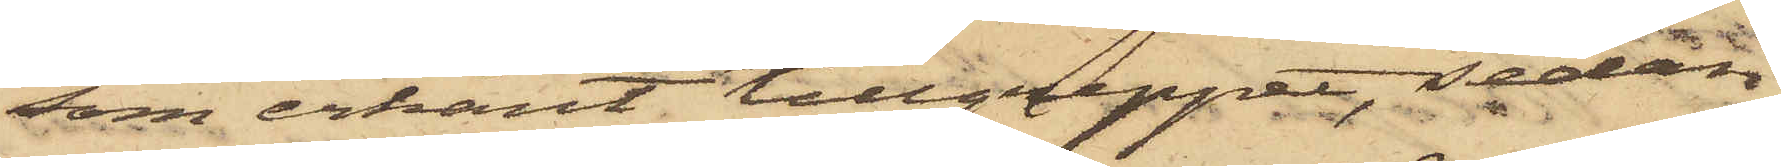som erkänt tillgreppet, sedan
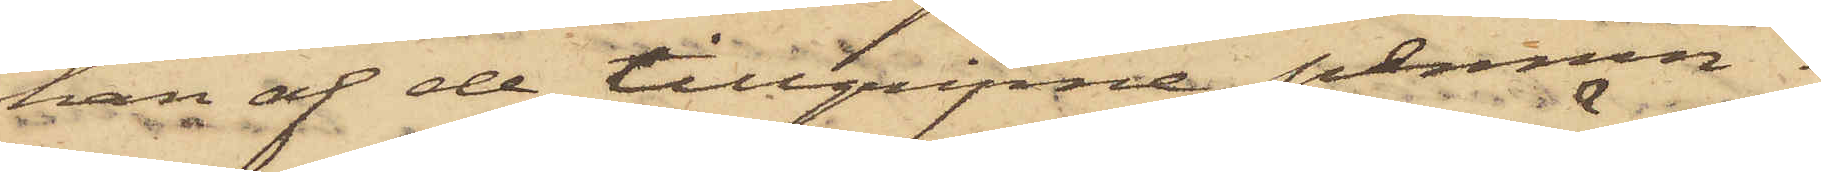han af de tillgripne pennin¬
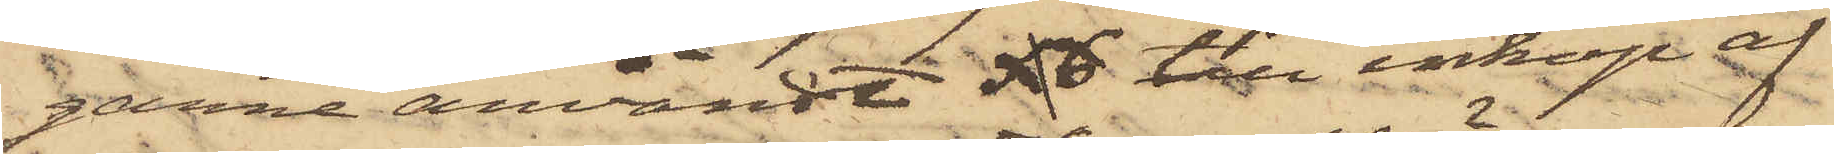garne användt till inköp af
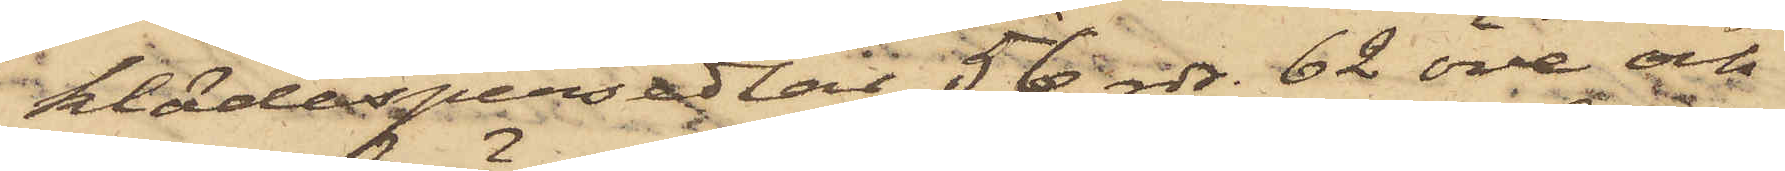klädespersedlar 56 rdr. 62 öre och
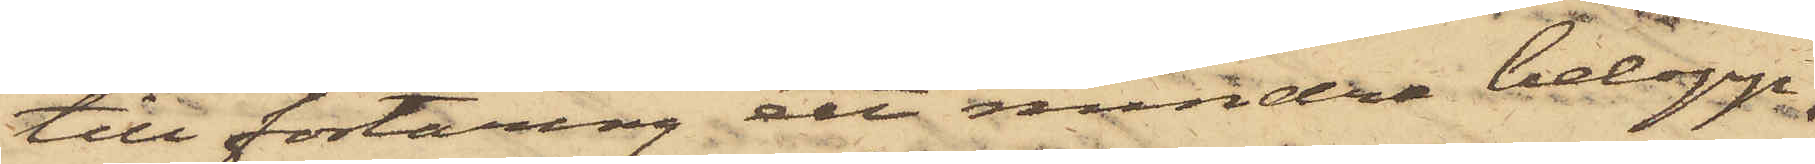till förtäring ett mindre belopp,
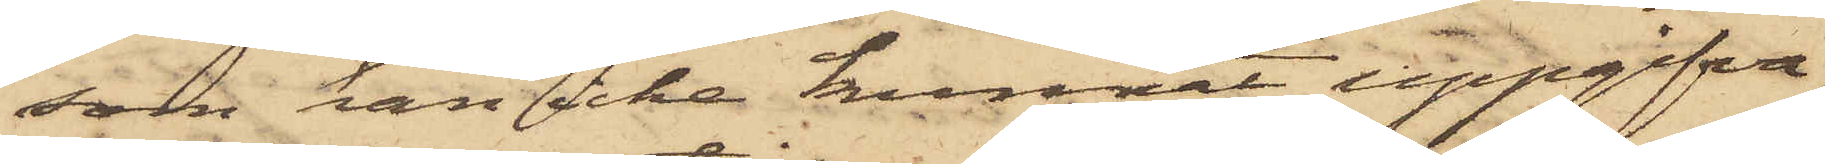som han icke kunnat uppgifva,
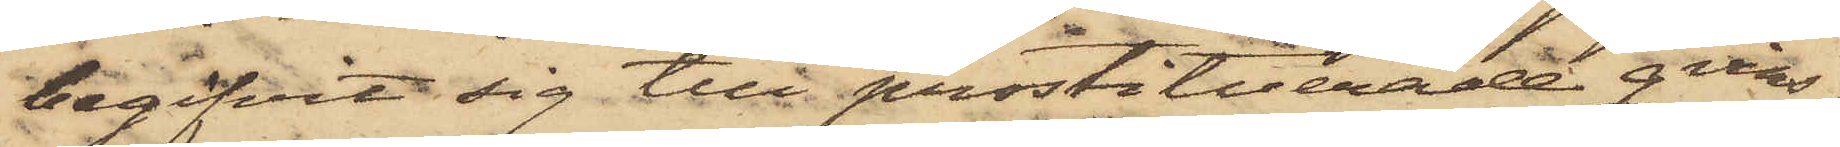begifvit sig till prostituerade qvins¬
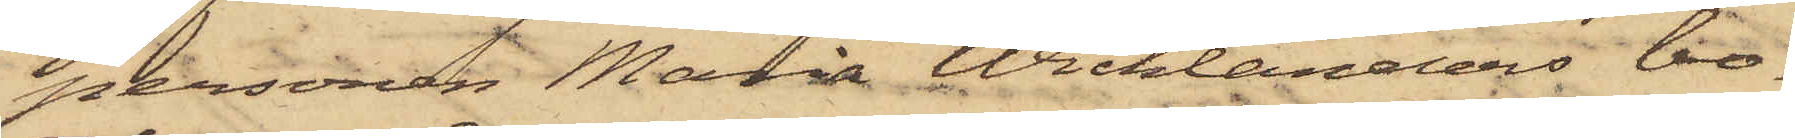personen Maria Wicklanders bo¬
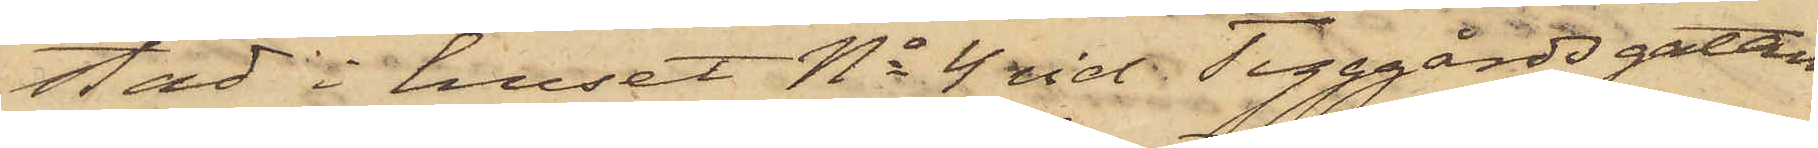sad i huset No 4 vid Tyggårdsgatan
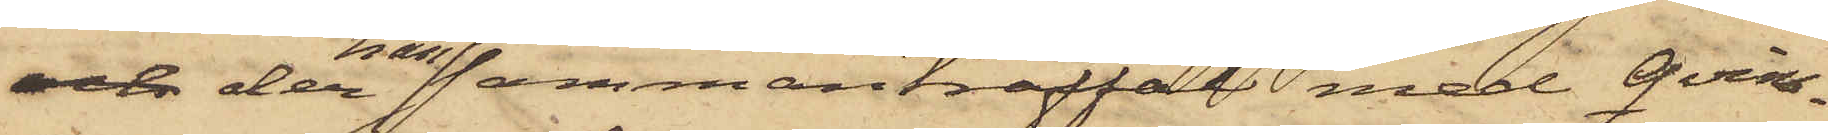och der han sammanträffat med Qvins¬
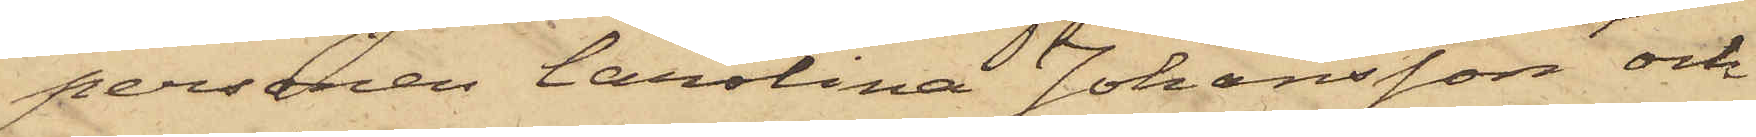personen Carolina Johansson och
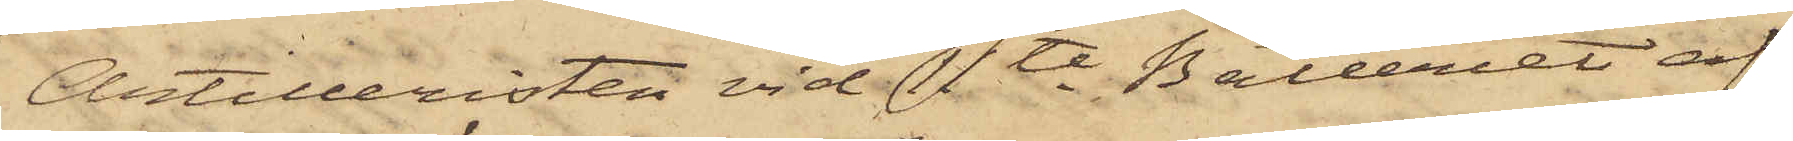Artilleristen vid  11te Batteriet af
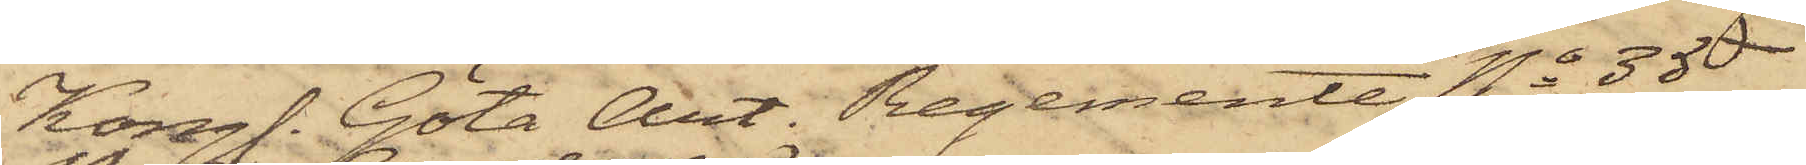Kongl. Göta Art. Regemente No 35
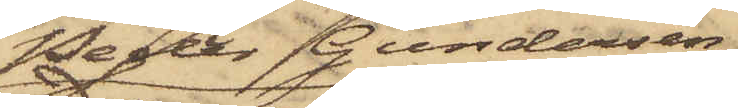Peder Gundersen
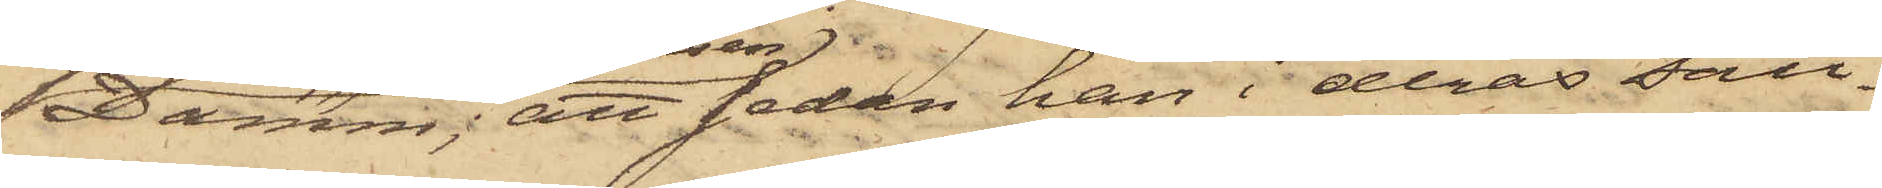Damm; att sedan han i deras säll¬
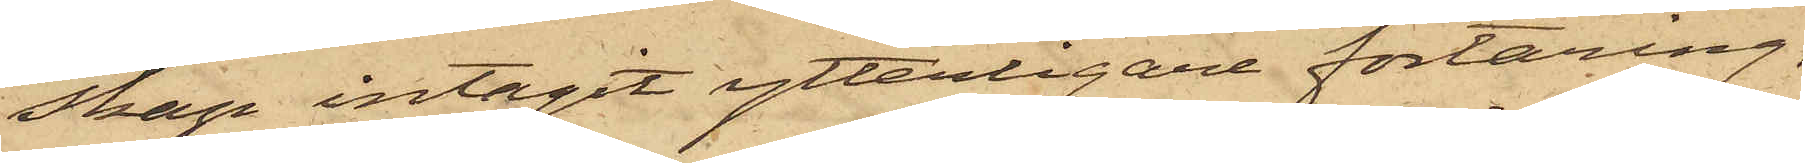skap intagit ytterligare förtäring,
